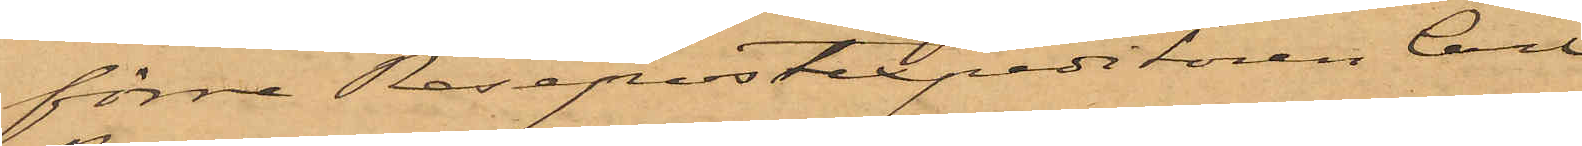förre Resepostexpeditören Carl
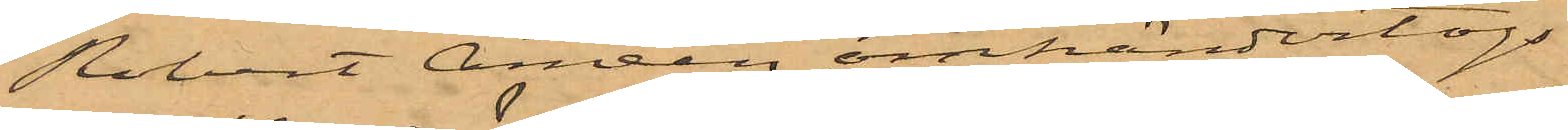Robert Améen, omhändertogs
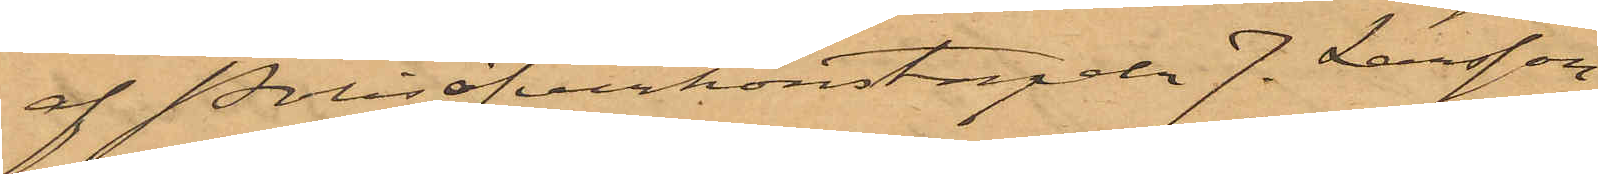af Polisöfverkonstapeln J. Larsson.
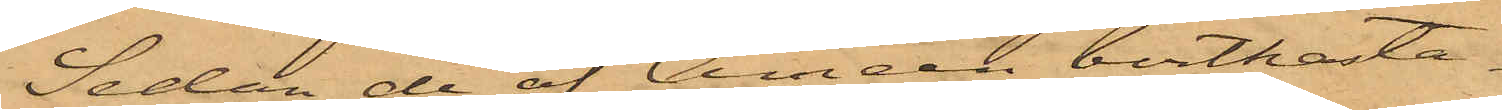Sedan de af Améen bortkasta¬
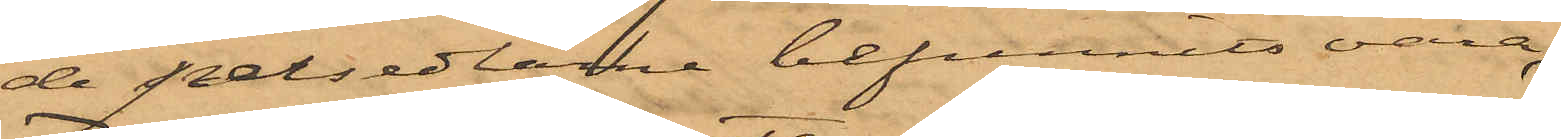de persedlarne befunnits vara
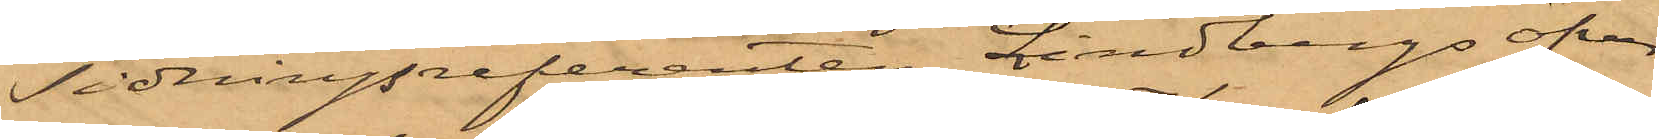Tidningsreferenten Lindbergs öfver¬
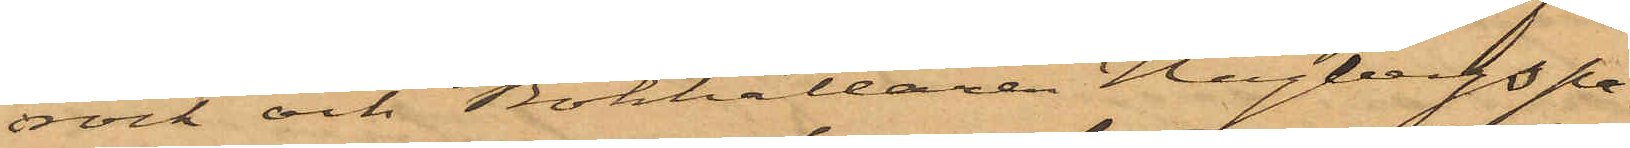rock och Bokhållaren Hagbergs pa¬
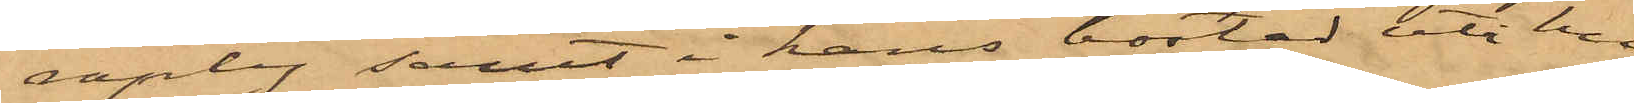raply samt i hans bostad uti hu¬
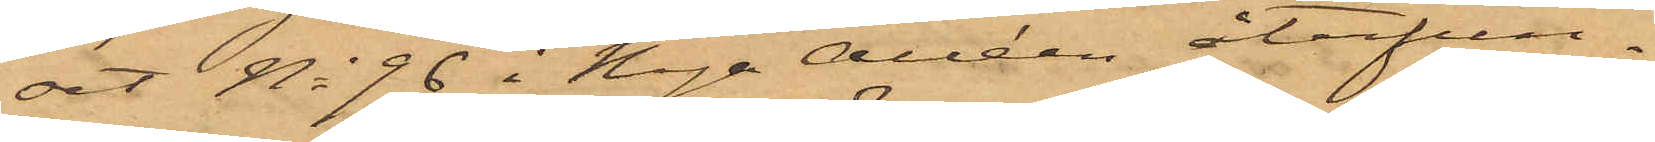set No 96 i Nya Alléen återfun¬
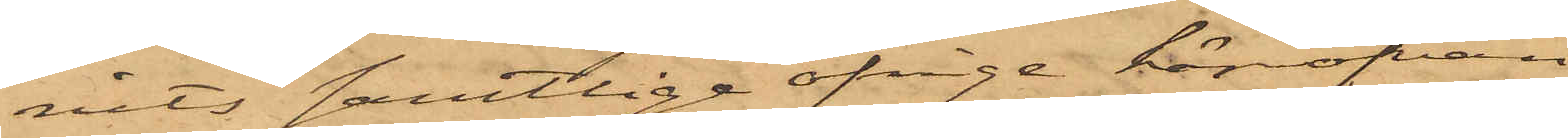nits samtlige öfrige härofvan
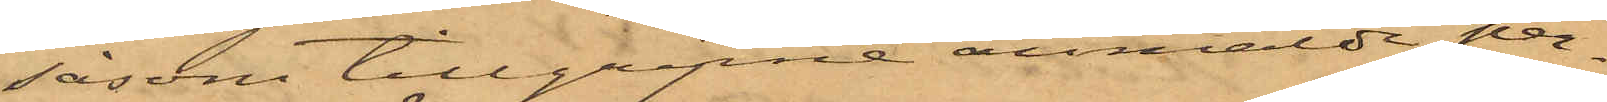såsom tillgripne anmälde per¬
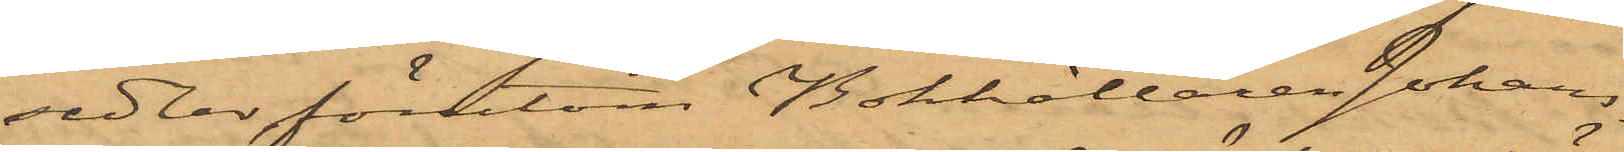sedlar förutom Bokhållaren Johans¬
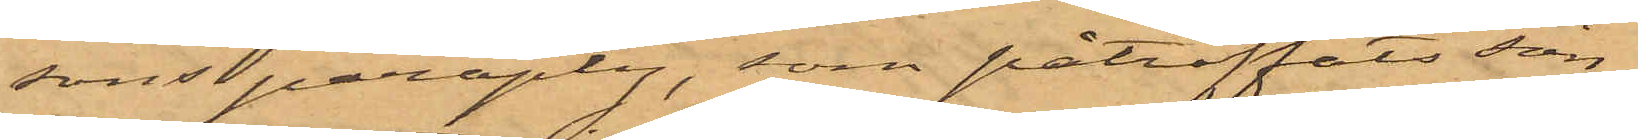sons paraply, som påträffats sön¬
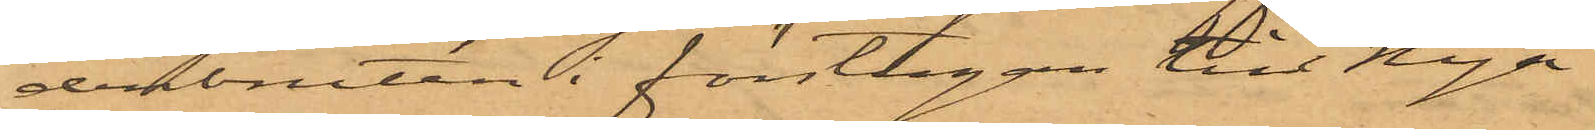derbruten i förstugan till Nya
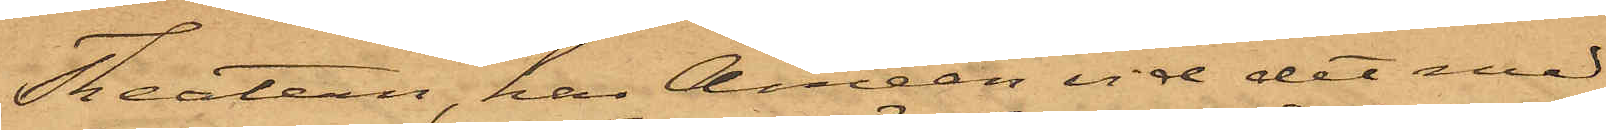Theatern, har Améen vid det med
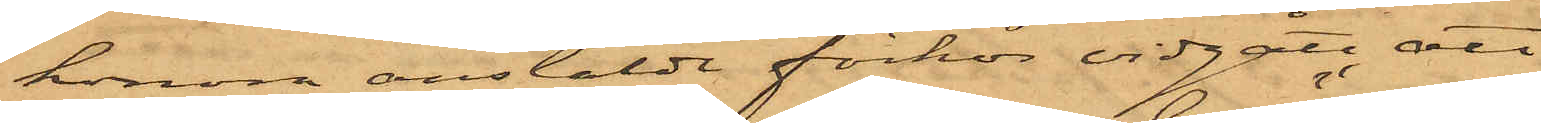honom anstälde förhör vidgått, att
